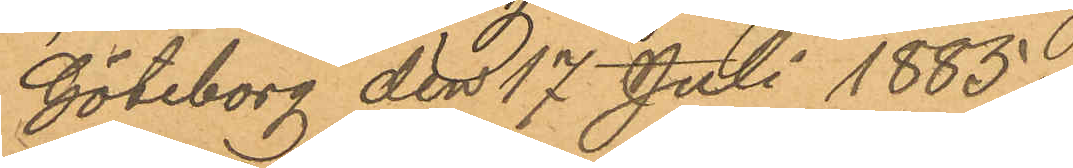Göteborg den 17 Juli 1885.
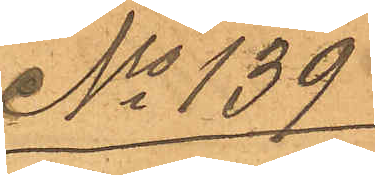No 139
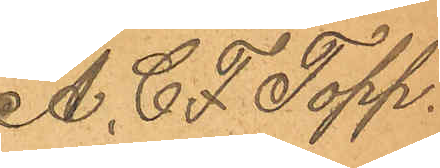A. C. F. Topp
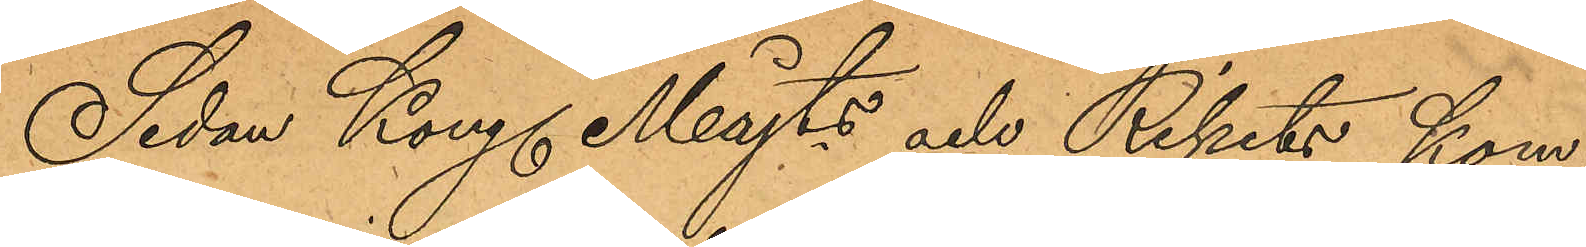Sedan Kong. Majts och Rikets kom¬
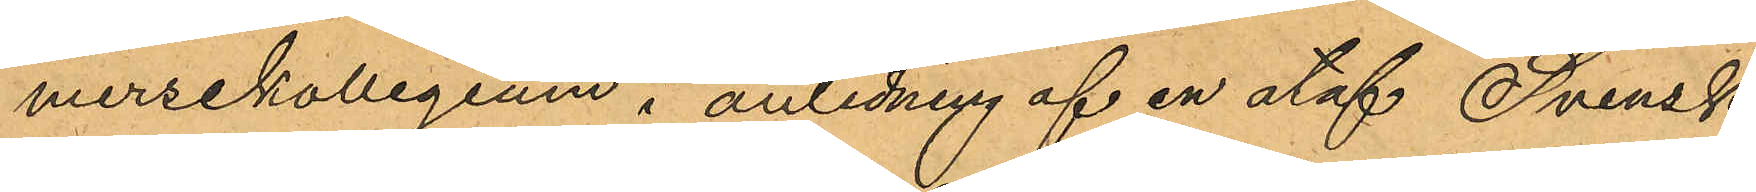mersekollegium i anledning af en utaf Svensk
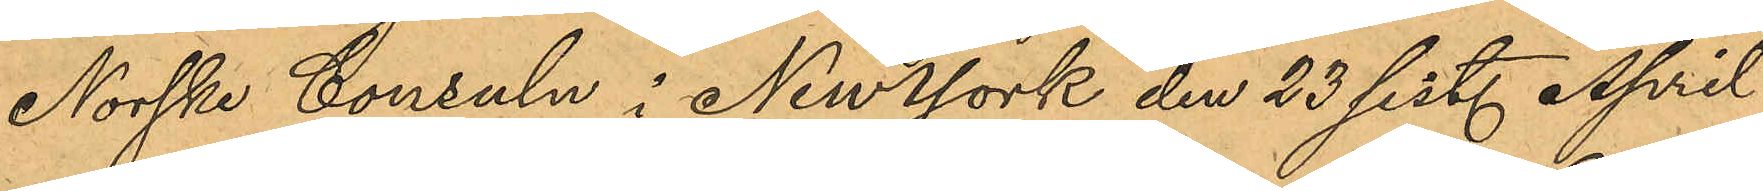Norske Consuln i New York den 23 sist. April
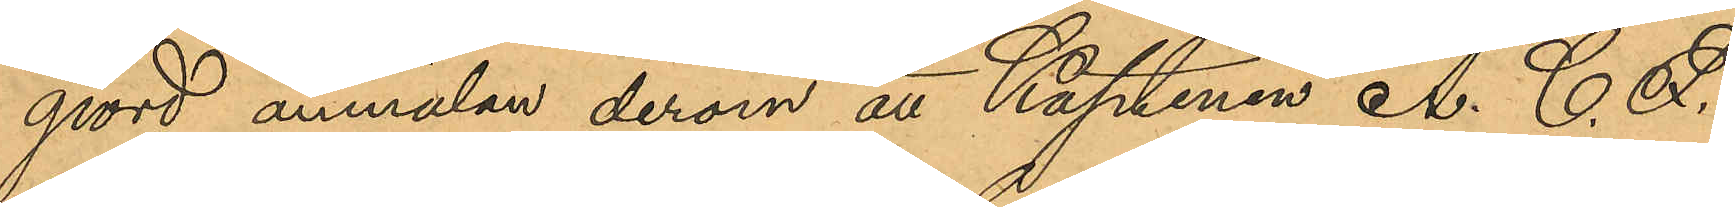gjord anmälan derom att Kaptenen A. C. F.
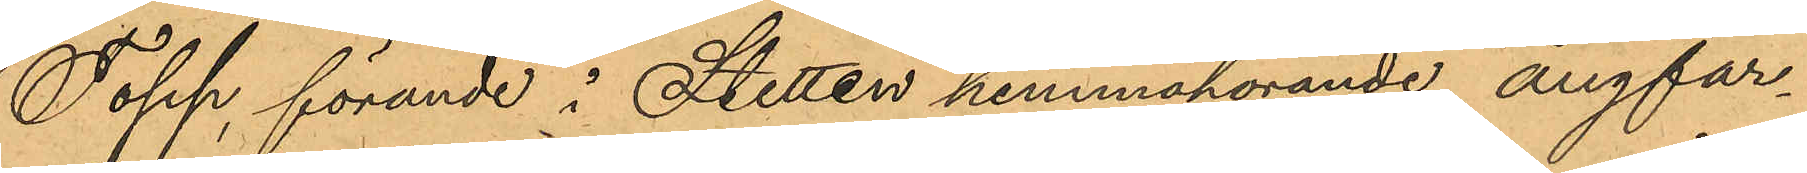Topp, förande i Stetten hemmahörande ångfar¬
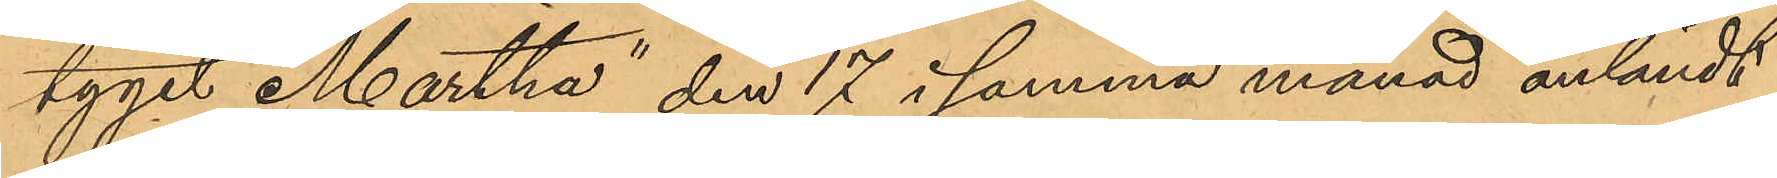tyget "Martha" den 17 i samma månad anländt
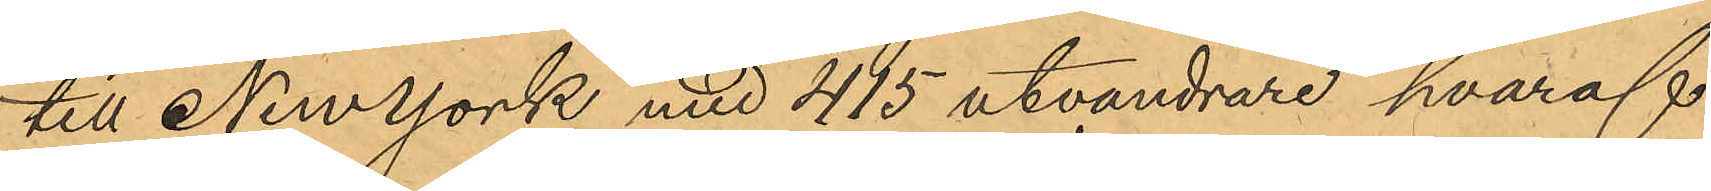till New York med 415 utvandrare hvaraf
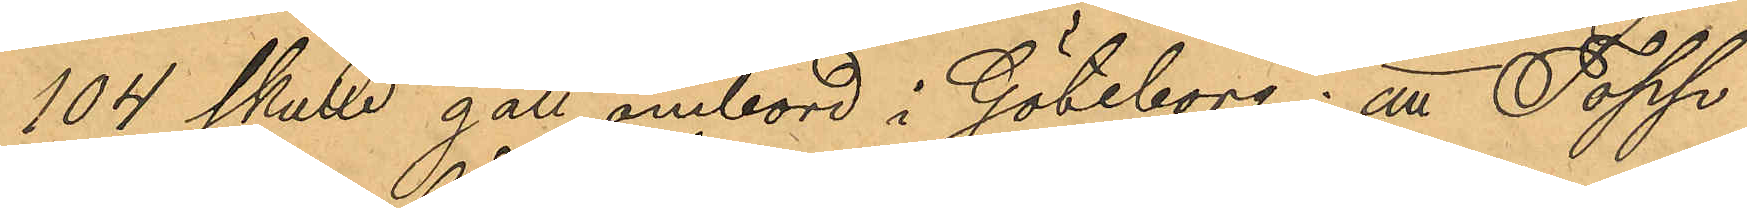104 skulle gått ombord i Göteborg; att Topp 
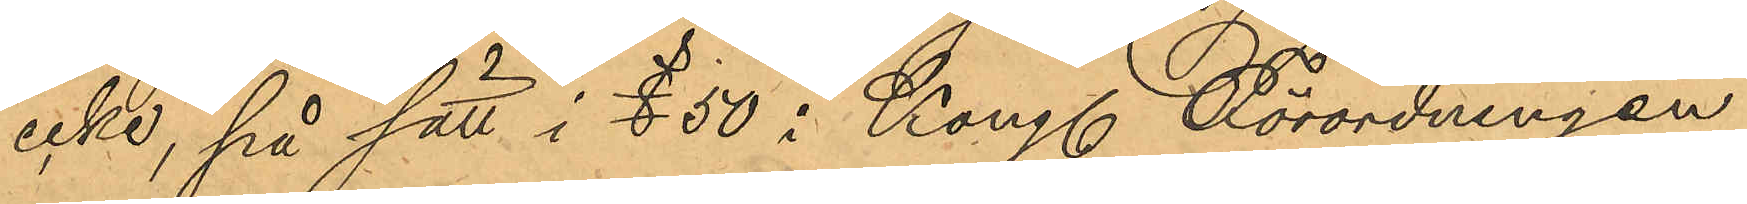icke, på sätt i § 50 i Kong. Förordningen
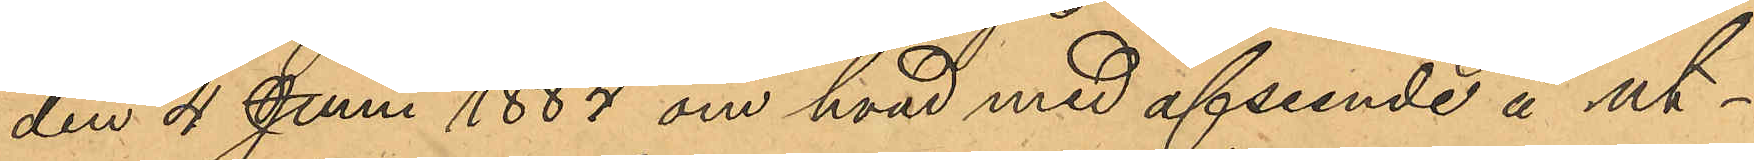den 4 Juni 1884 om hvad med afseende å ut¬
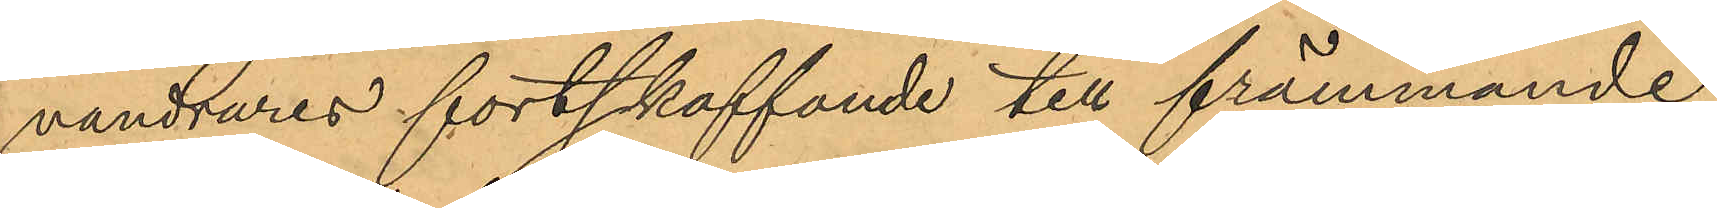vandrares fortskaffande till främmande
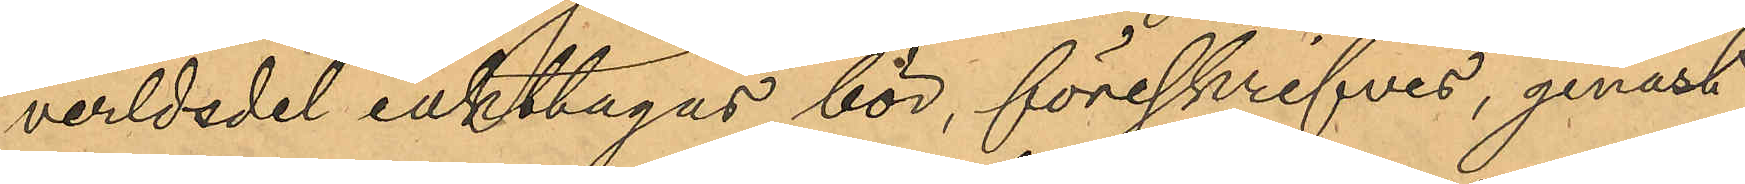verldsdel iakttagas bör, föreskrifves, genast
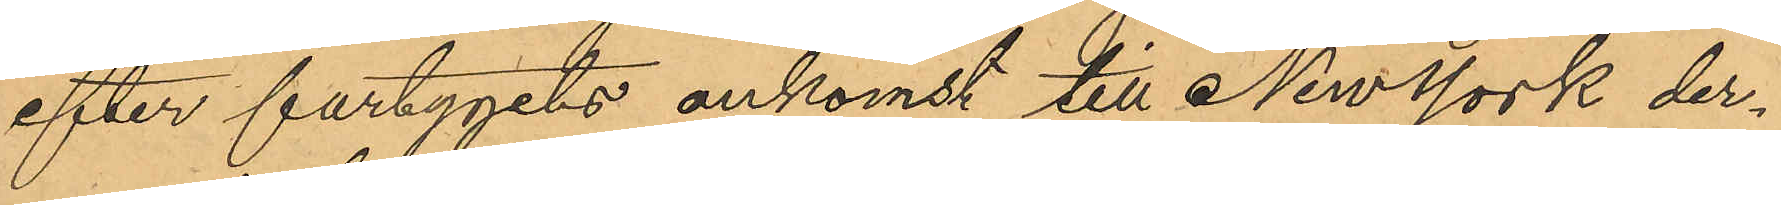efter fartygets ankomst till New York der¬
